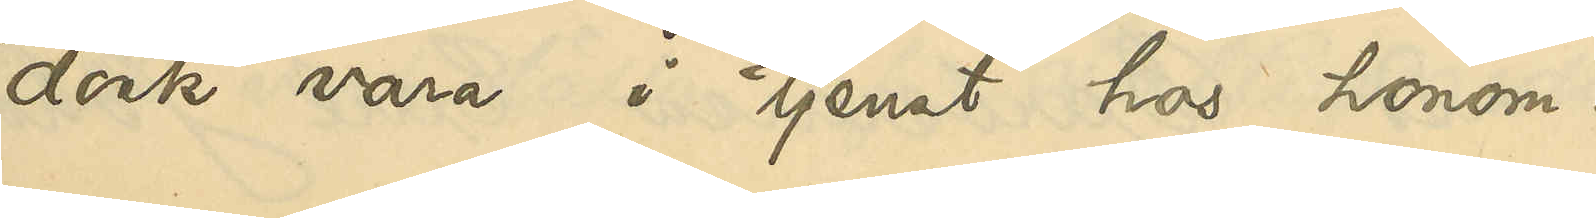dock vara i tjenst hos honom
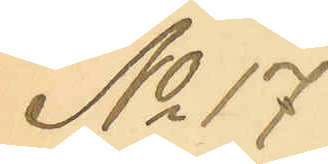No 17
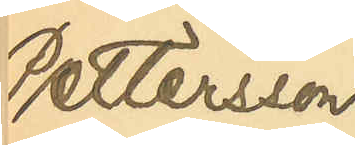Pettersson
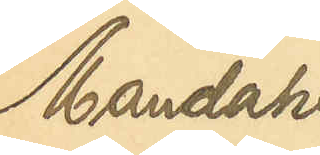Mandahl
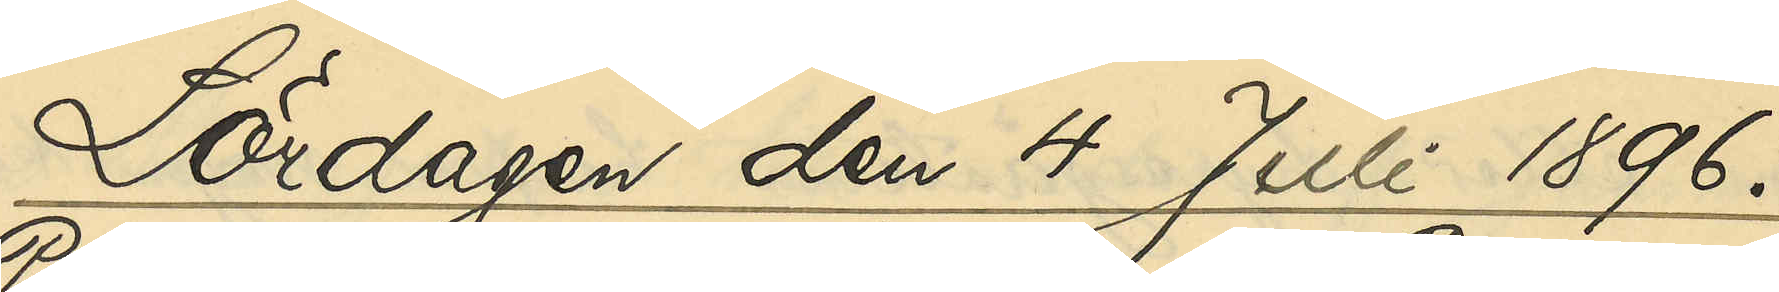Lördagen den 4 Juli 1896.
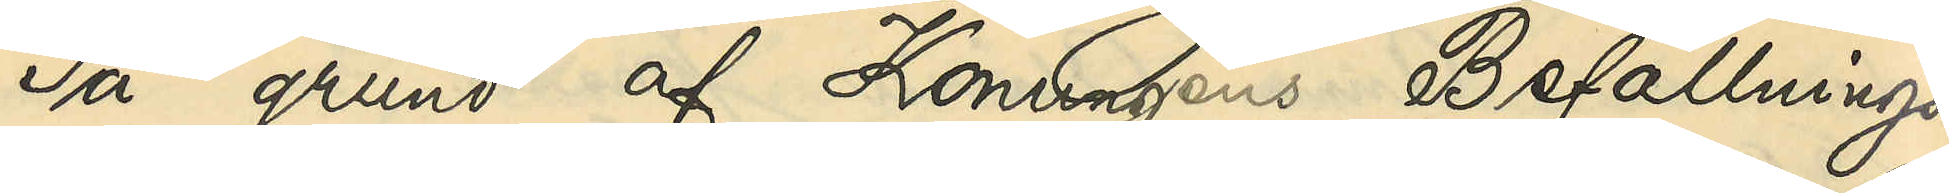På grund af Konungens Befallnings¬
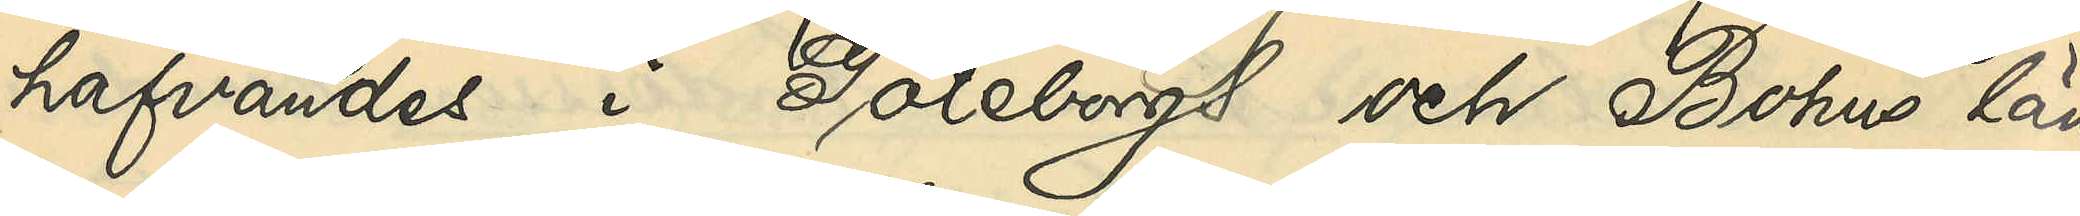hafvandes i Göteborgs och Bohus län
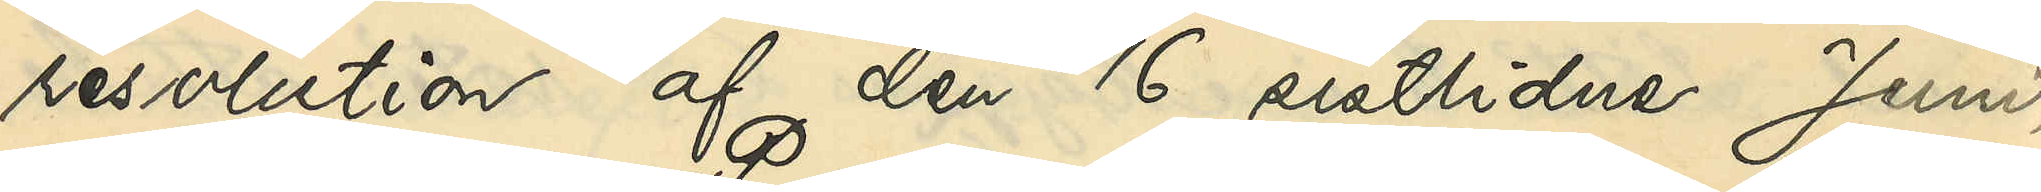resolution af den 16 sistlidne Juni,
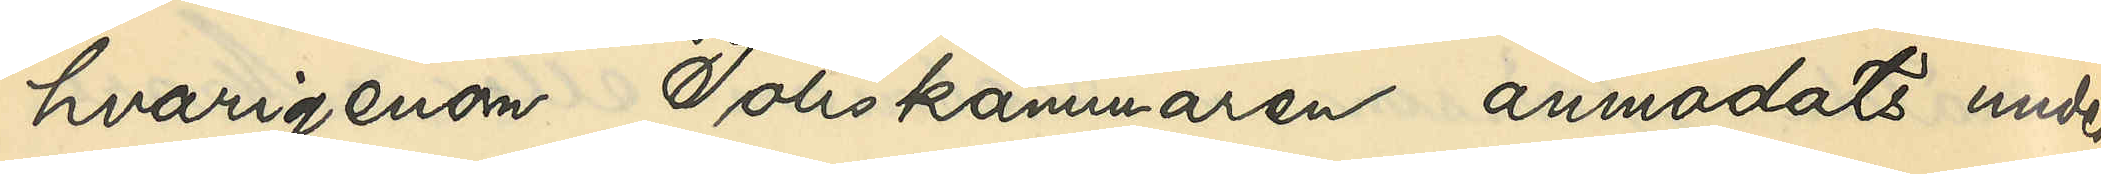hvarigenom Poliskammaren anmodats under¬
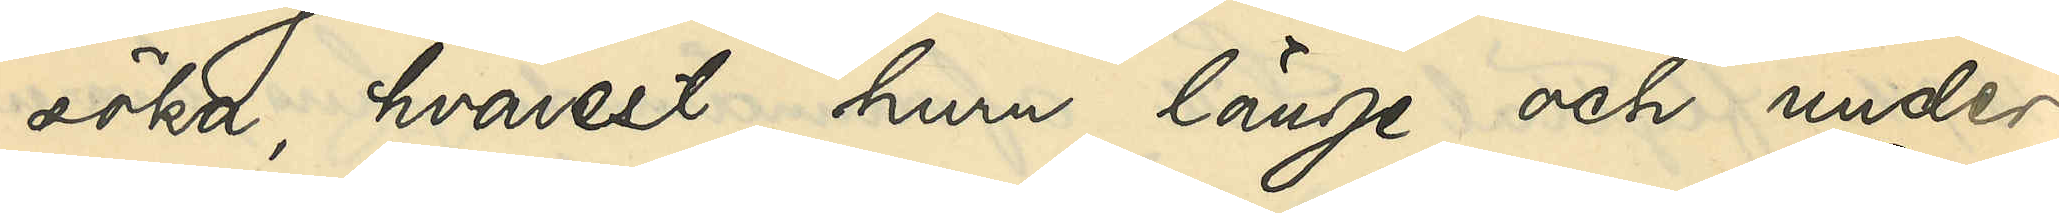söka, hvarest, huru länge och under
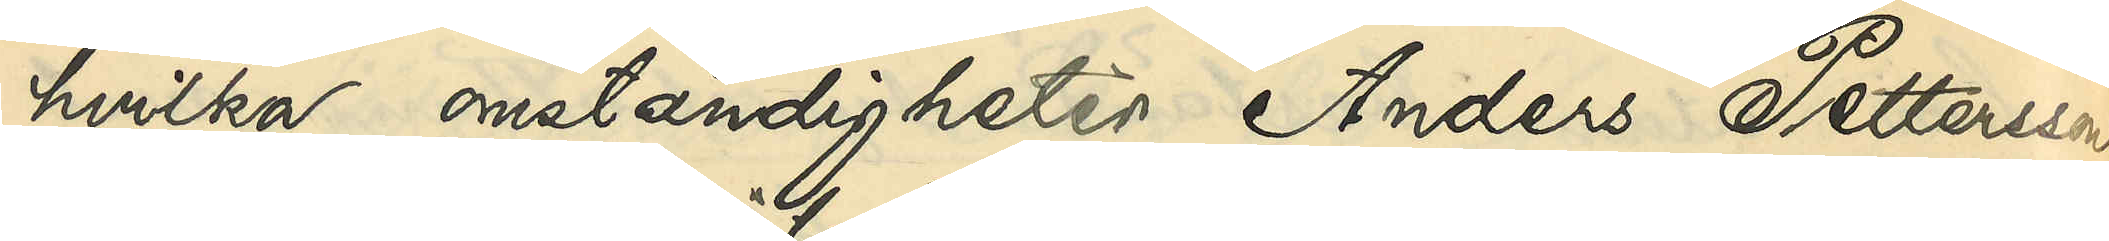hvilka omständigheter Anders Pettersson
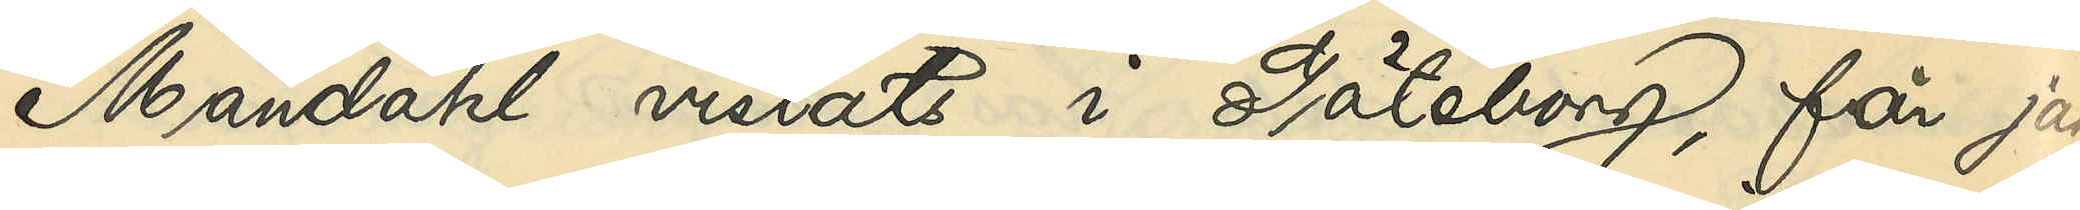Mandahl vistats i Göteborg, får jag,
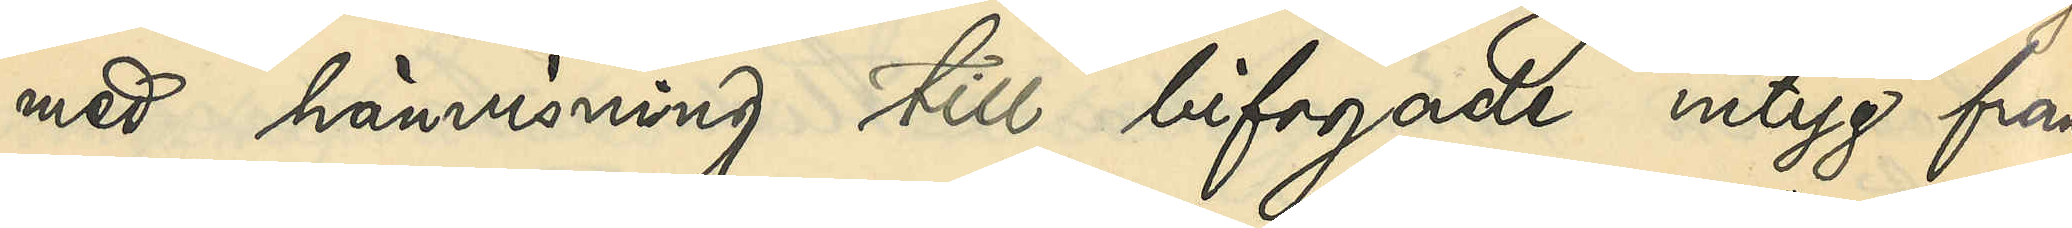med hänvisning till bifogade intyg från
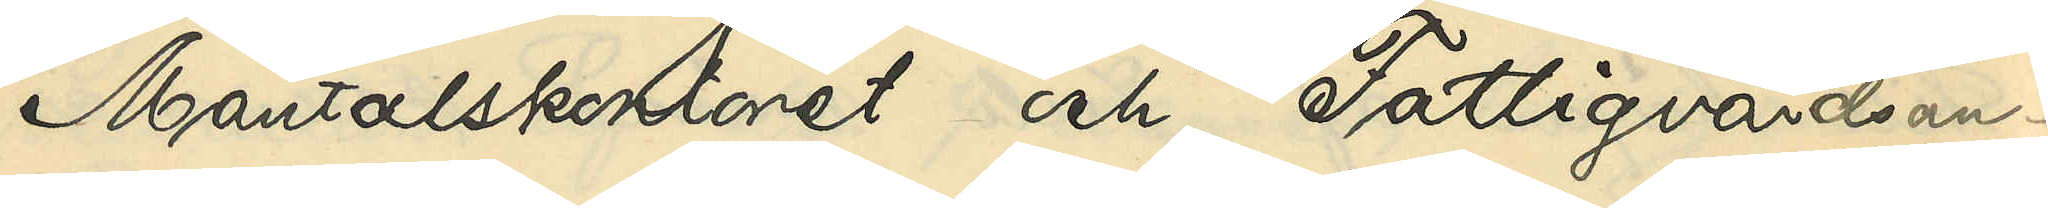Mantalskontoret och Fattigvårdsan¬
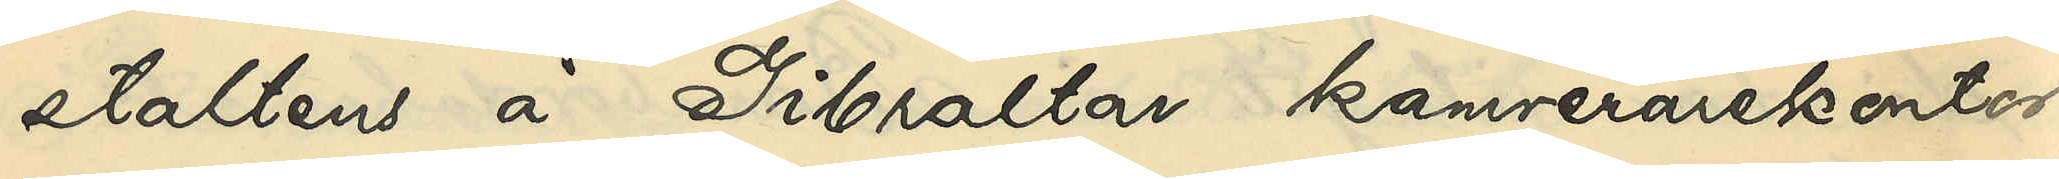staltens å Gibraltar kamrerarekontor,
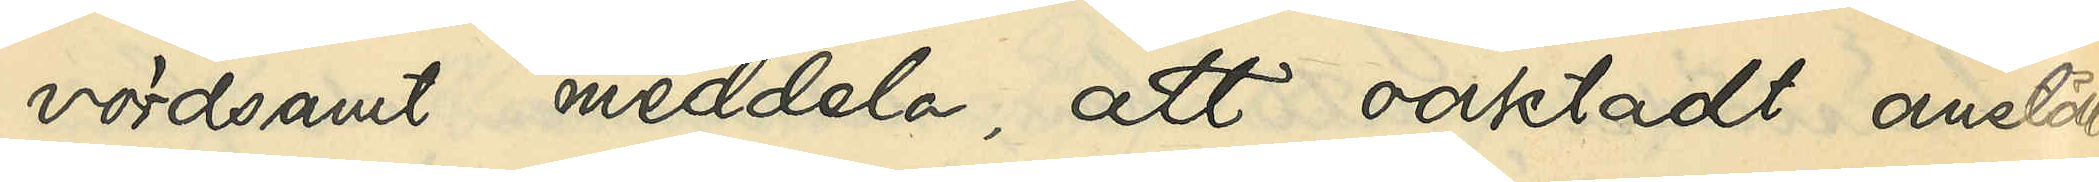vördsamt meddela, att oaktadt anstäl¬
